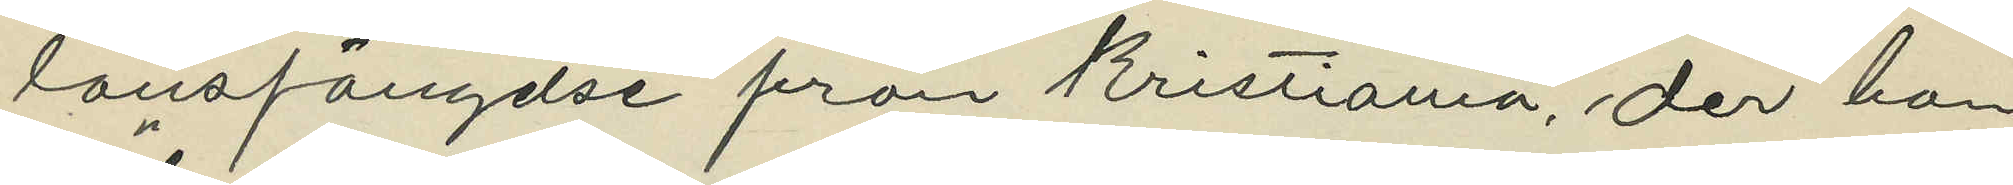länsfängelse från Kristiania, der han
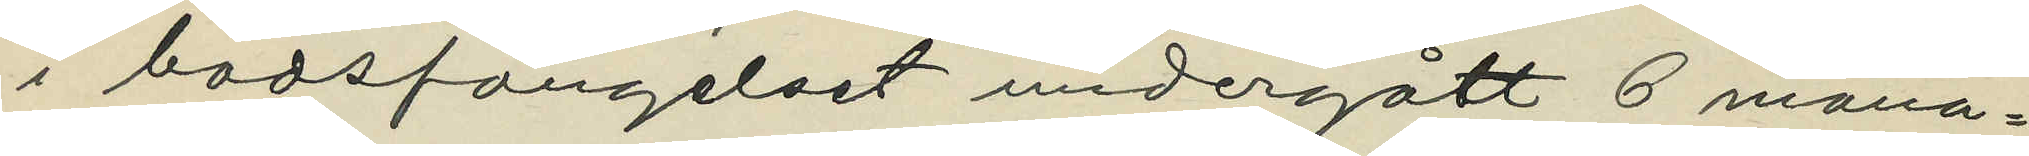i "bodsfängelset" undergått 6 måna¬
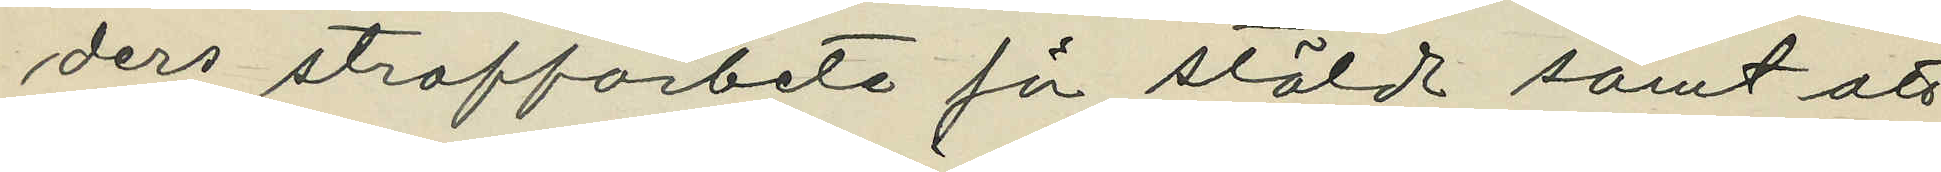ders straffarbete fö stöld samt att
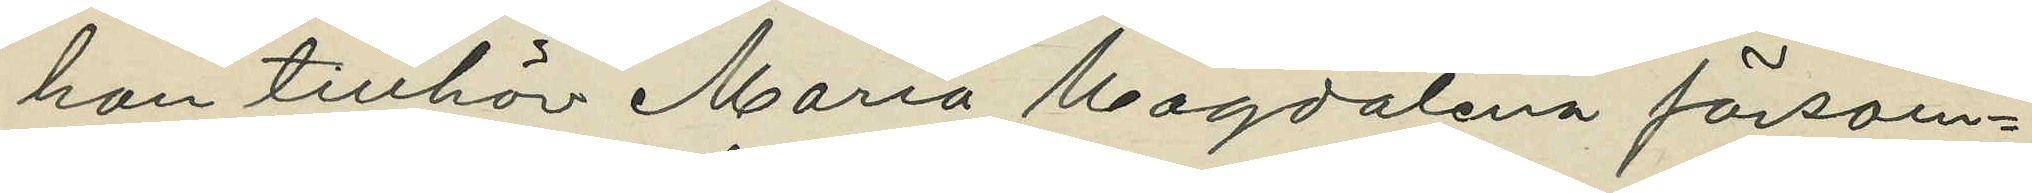han tillhör Maria Magdalena försam¬
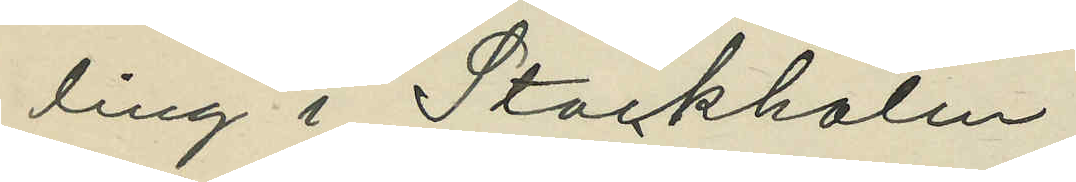ling i Stockholm.
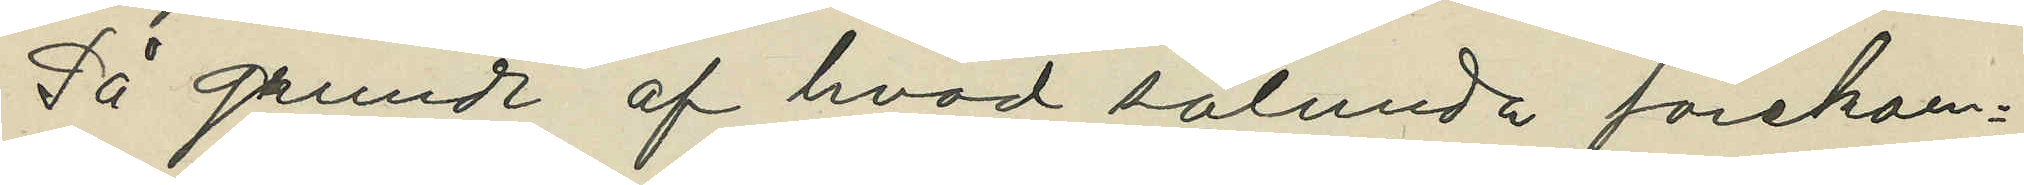På grund af hvad sålunda förekom¬
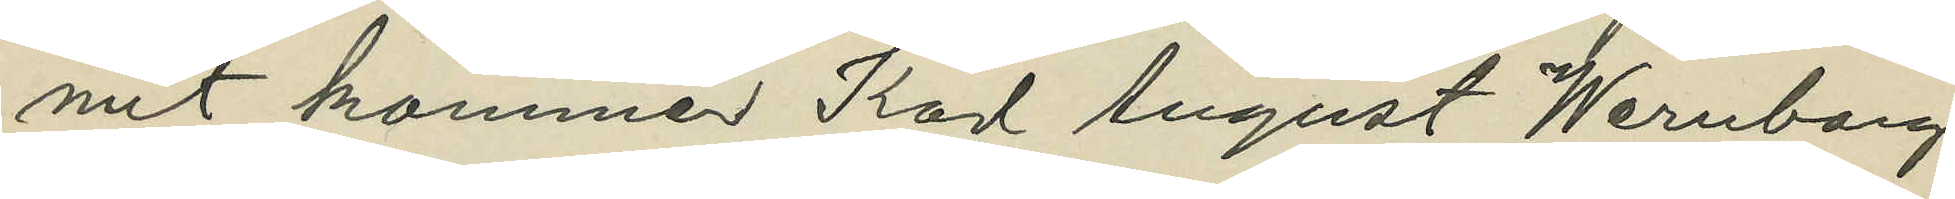mit kommer Karl August Wernborg
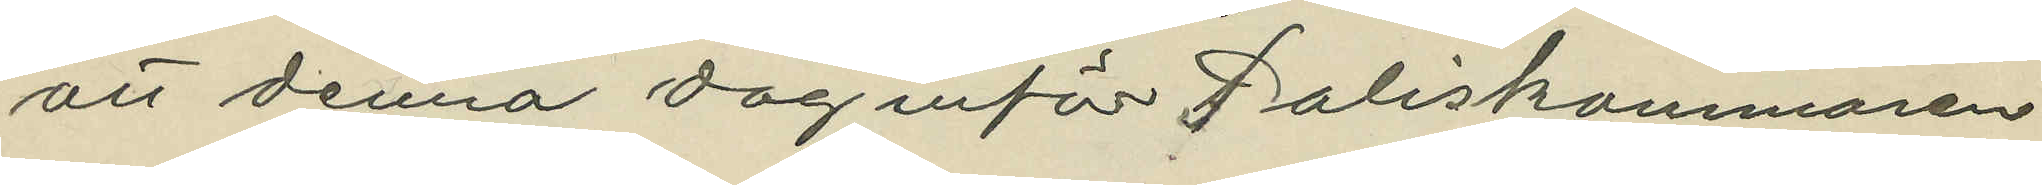att denna dag inför Poliskammaren
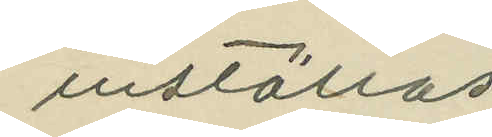inställas
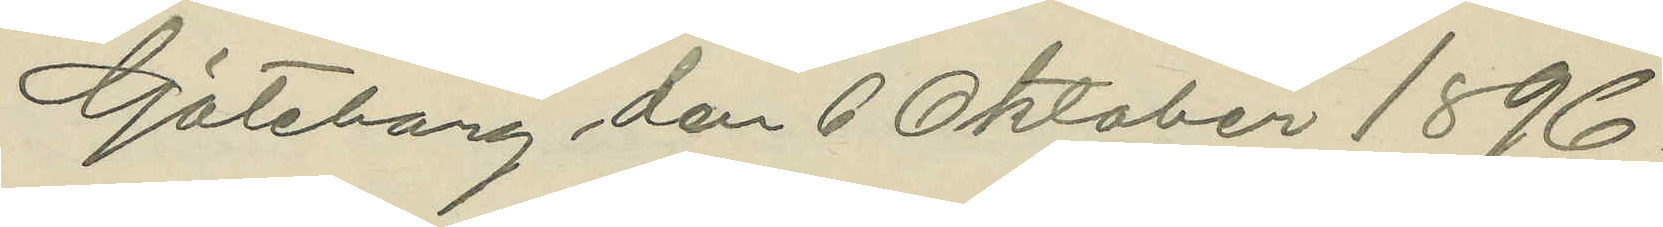Göteborg den 6 Oktober 1896.
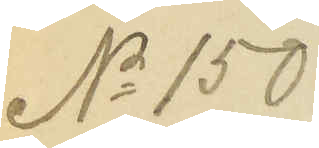No 150
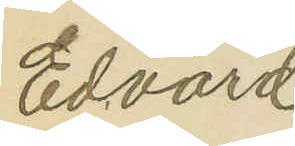Edvard
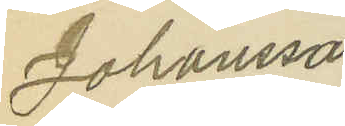Johansson
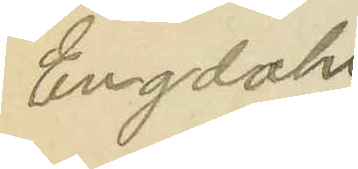Engdahl
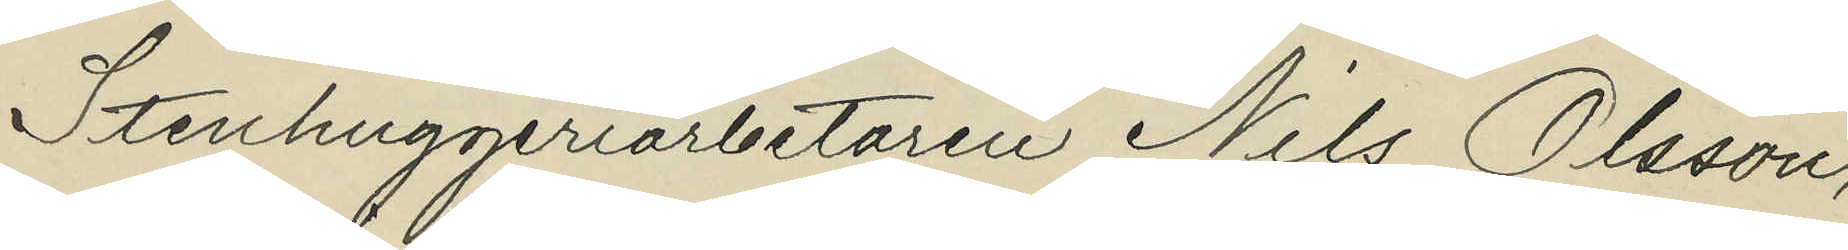Stenhuggeriarbetaren Nils Olsson,
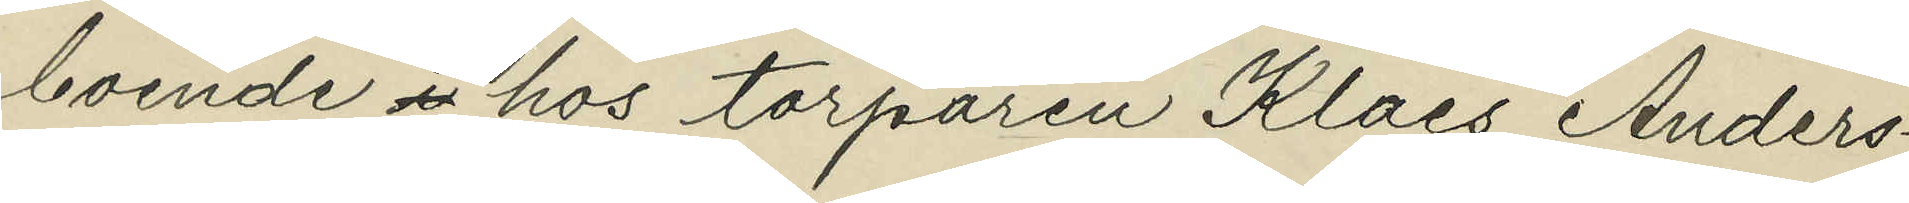boende i hos torparen Klaes Anders¬
